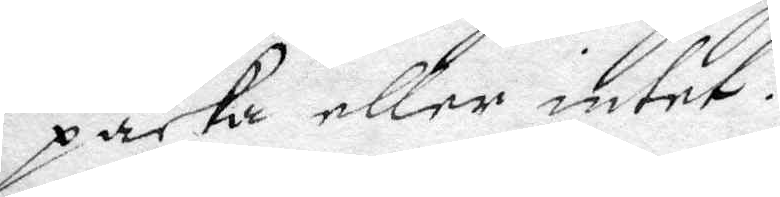paxka eller intet.
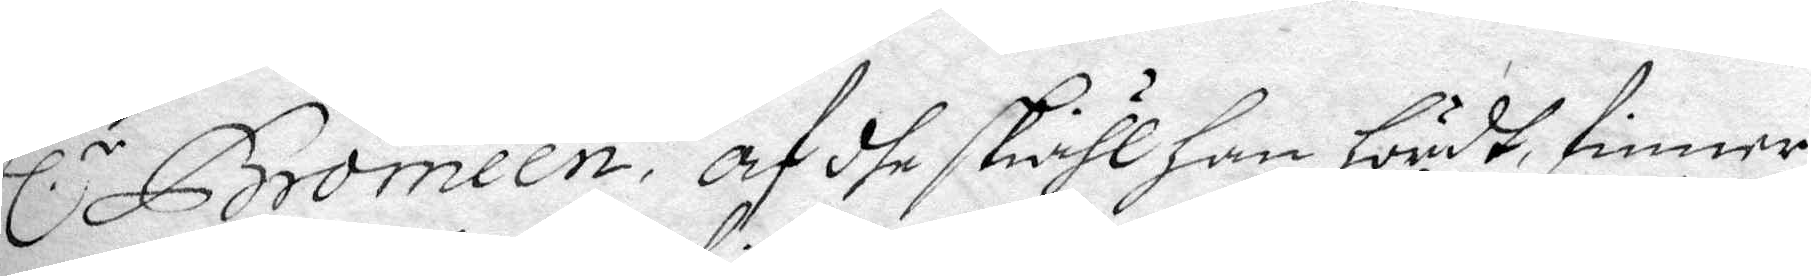hl.r Bromeen, af dhe skähl han hördt, finner
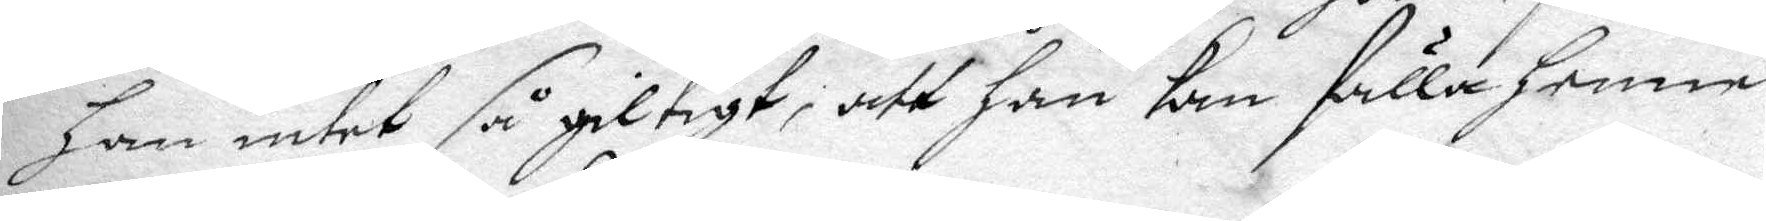han intet så giltigt, att han kan fälla henne
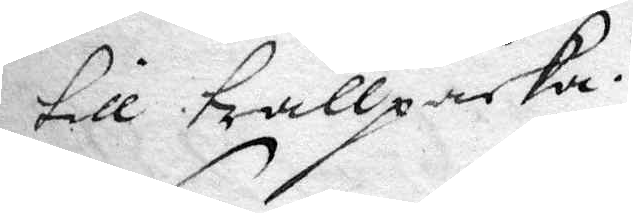till trållpacka.
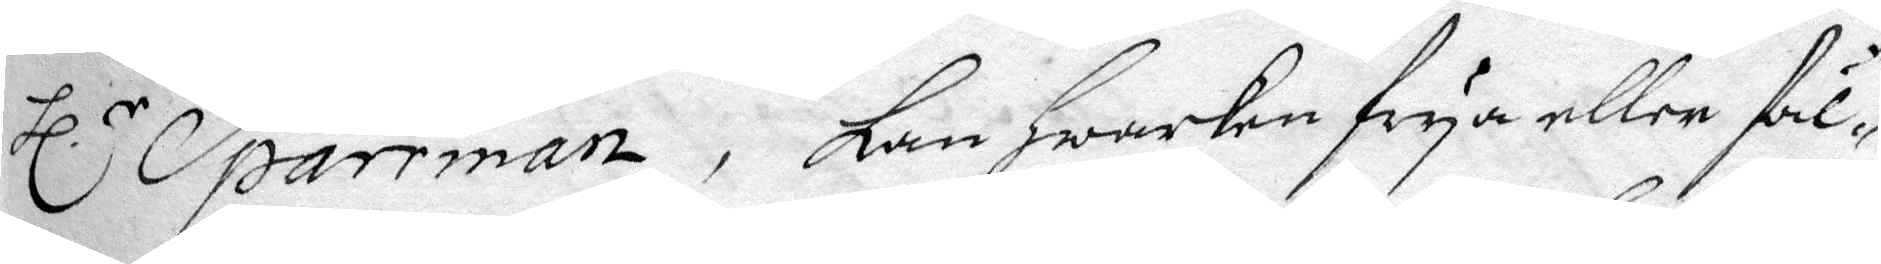Hl.r Sparrman, kan hwarken seya eller fäl¬
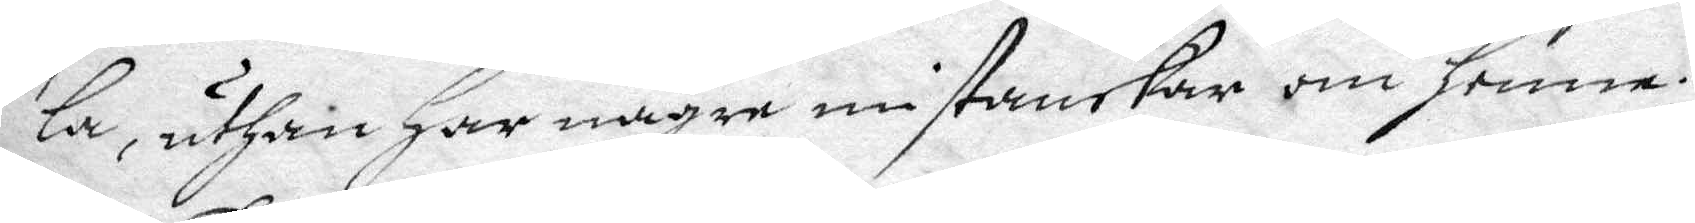la, uthan har någre mistankar om henne.
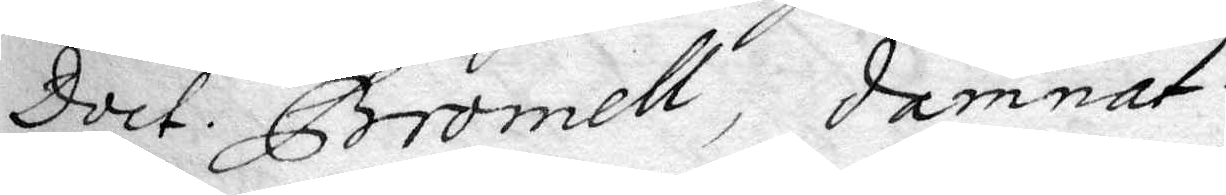Doct. Bromell, damnat.
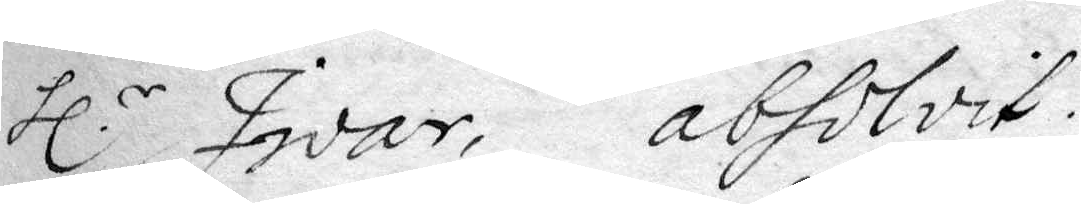hl.r Iwar, absolvit.
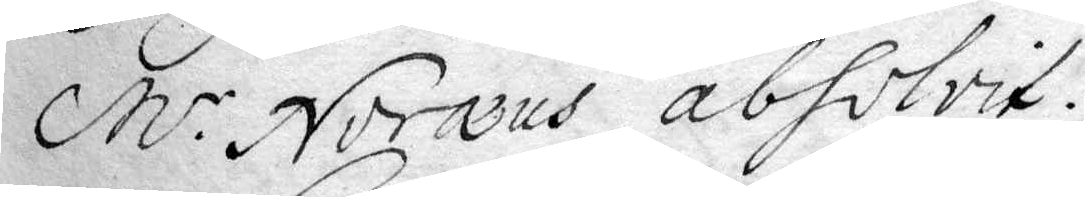M.r Noræus absolvit.
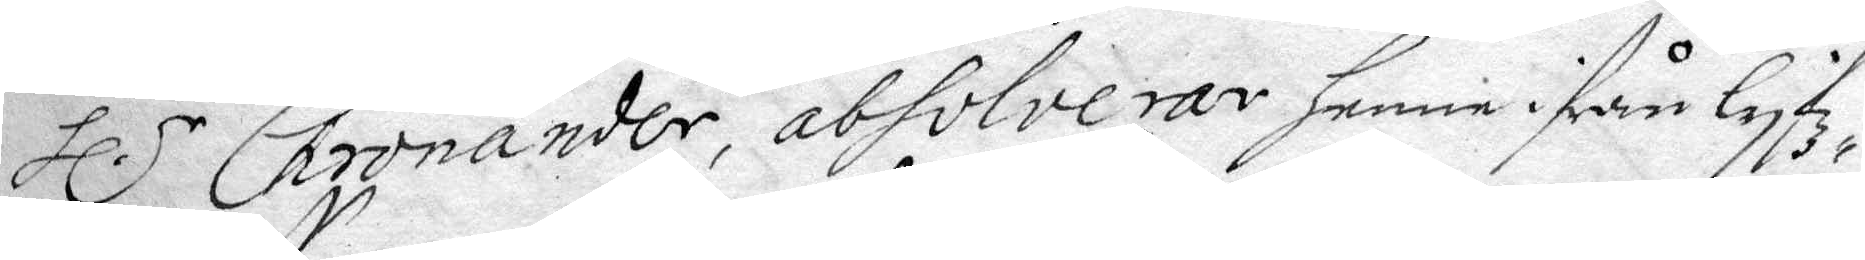hl.r Chronander, absolverar henne ifrån lyfz¬
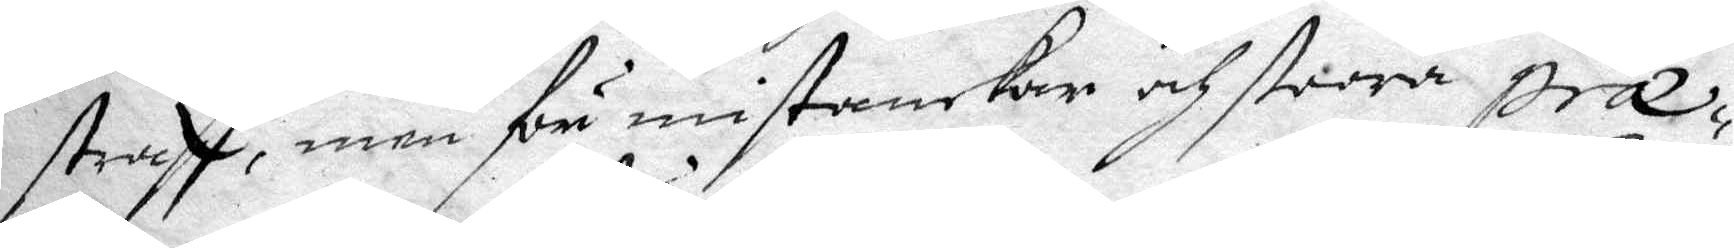straff, men för mistankar och stora præ¬
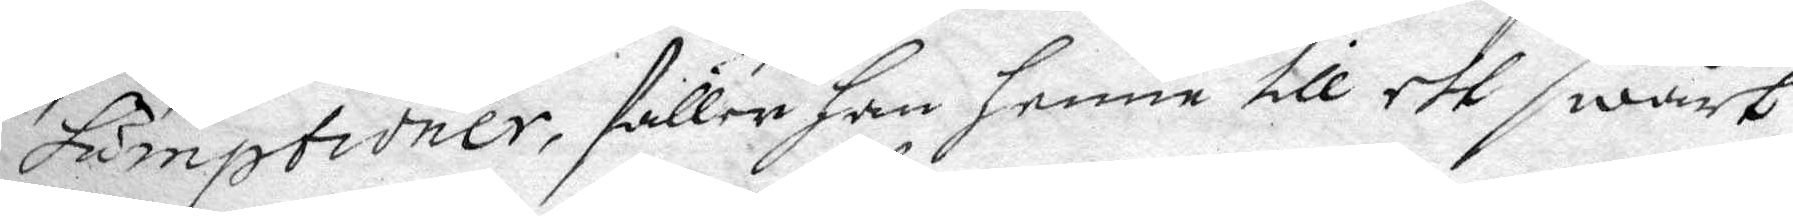sumptioner, fäller han henne till ett swårt
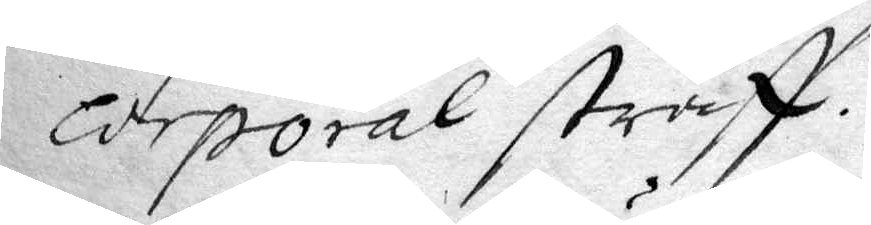corporal straff.
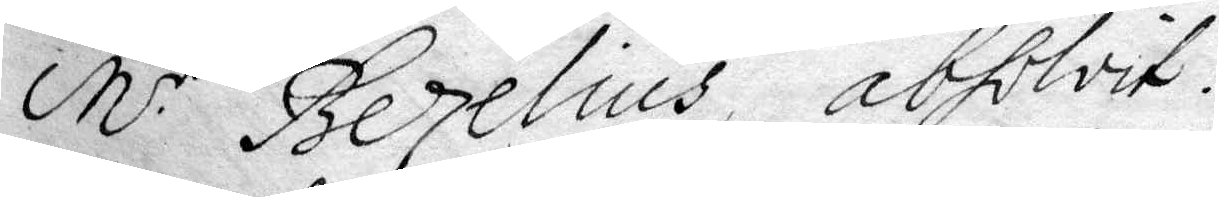M.r Bezelius absolvit.
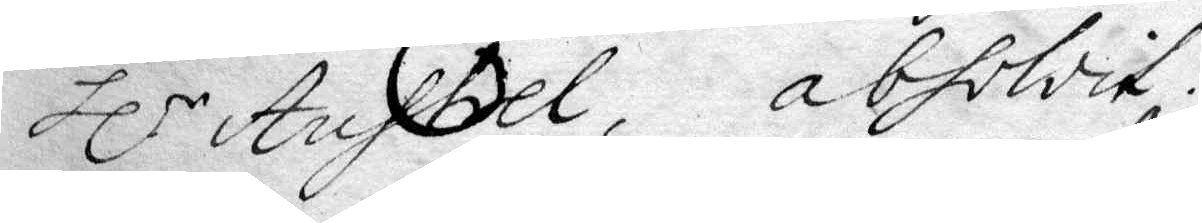hl.r Austrel, absolvit.
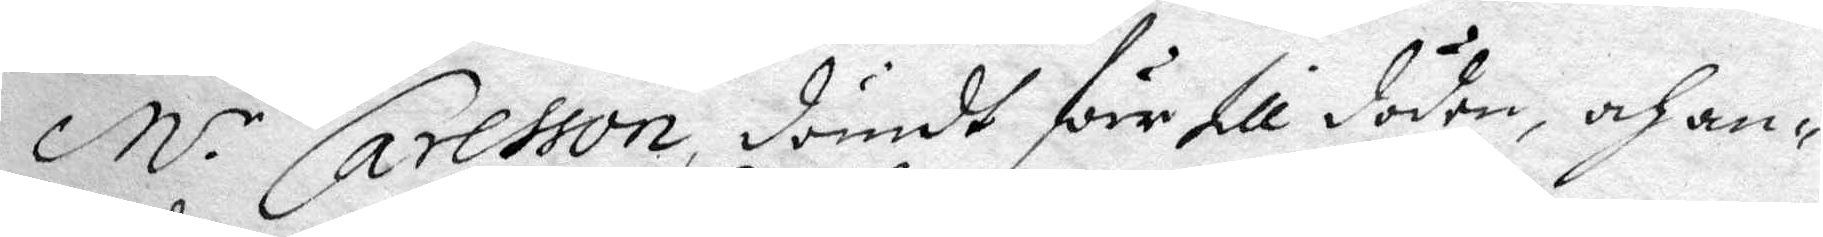M.r Carlsson, dömdt förr till döden, ahan¬
